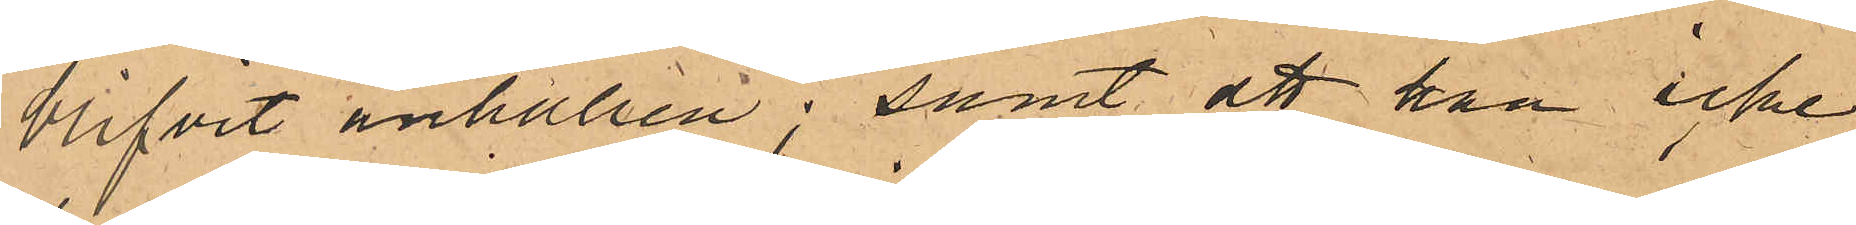blifvit anhållen; samt att han icke
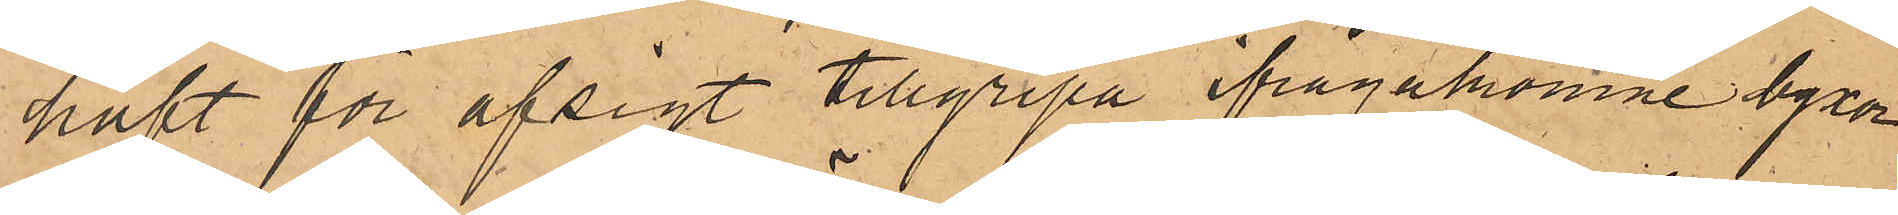haft för afsigt tillgripa ifrågakomne byxor
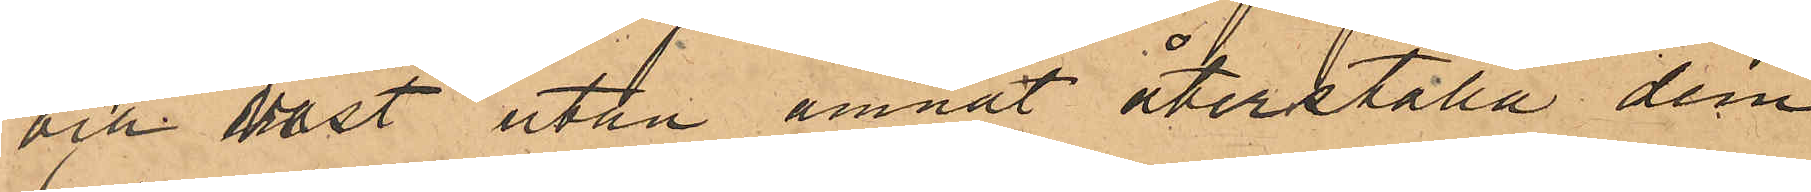och wäst utan ämnat återställa dem
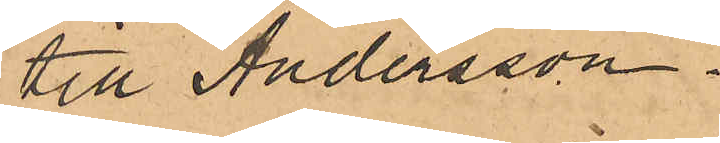till Andersson.
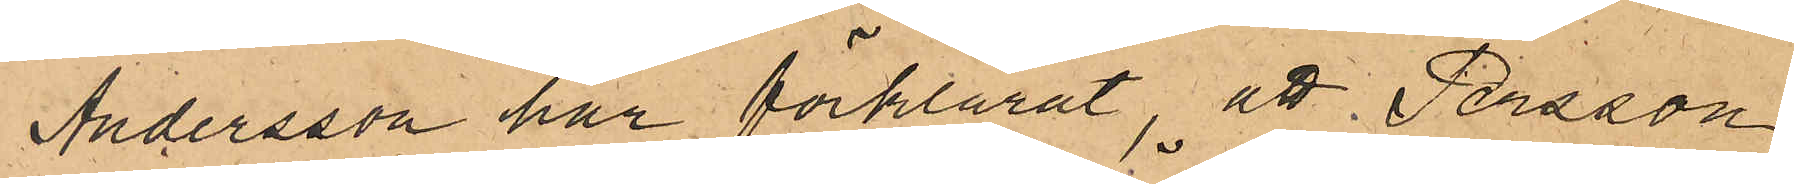Andersson har förklarat, att Persson
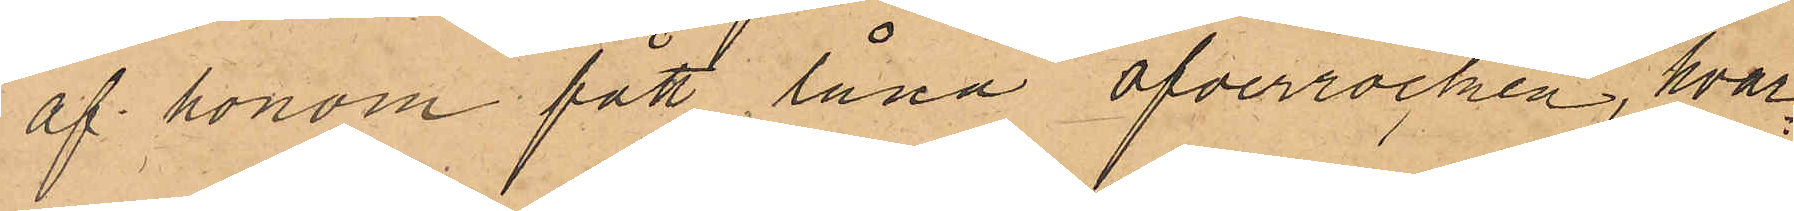af honom fått låna öfverrocken, hvar¬
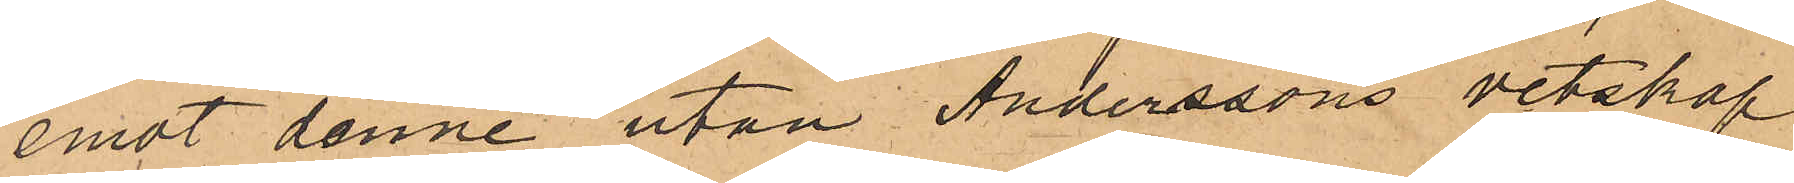emot denne utan Anderssons vetskap
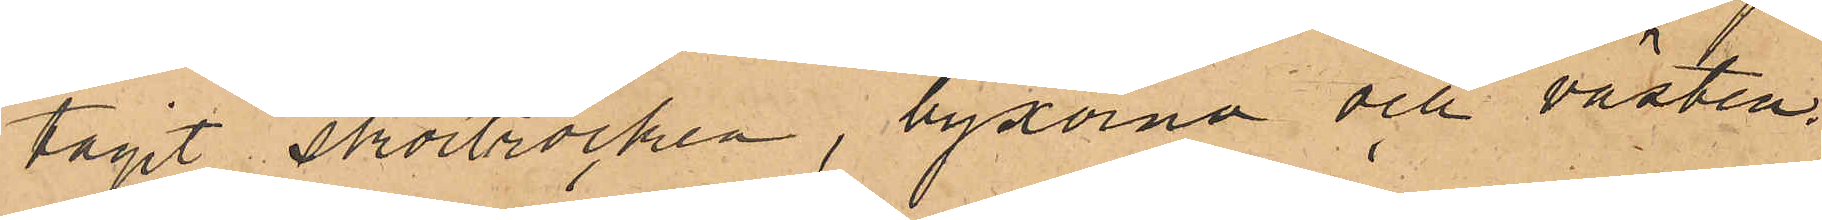tagit skörtrocken, byxorna och västen.
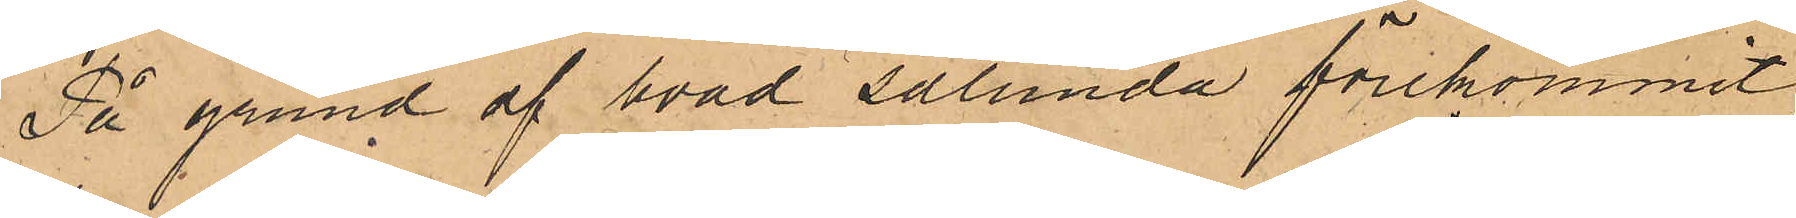På grund af hvad sålunda förekommit,
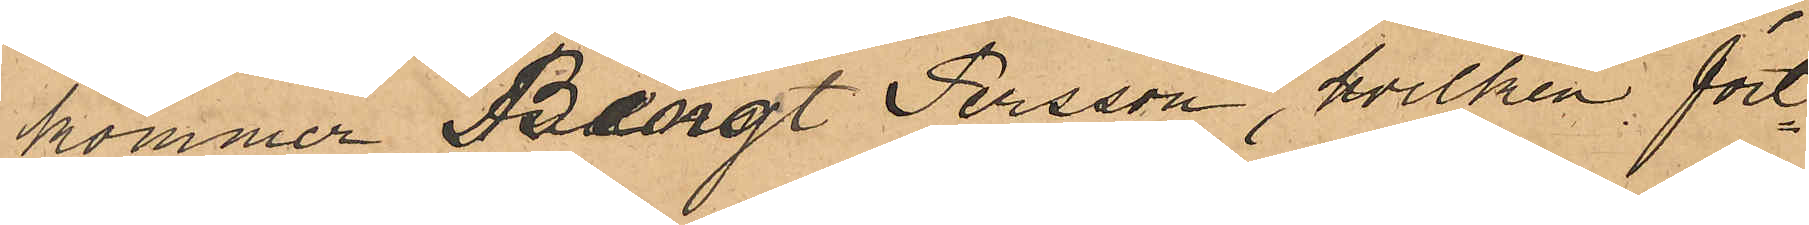kommer Bengt Persson, hvilken fort¬
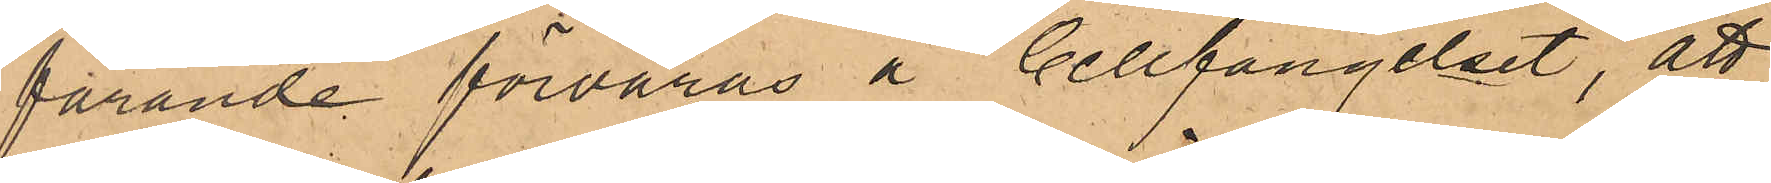farande förvaras å Cellfängelset, att
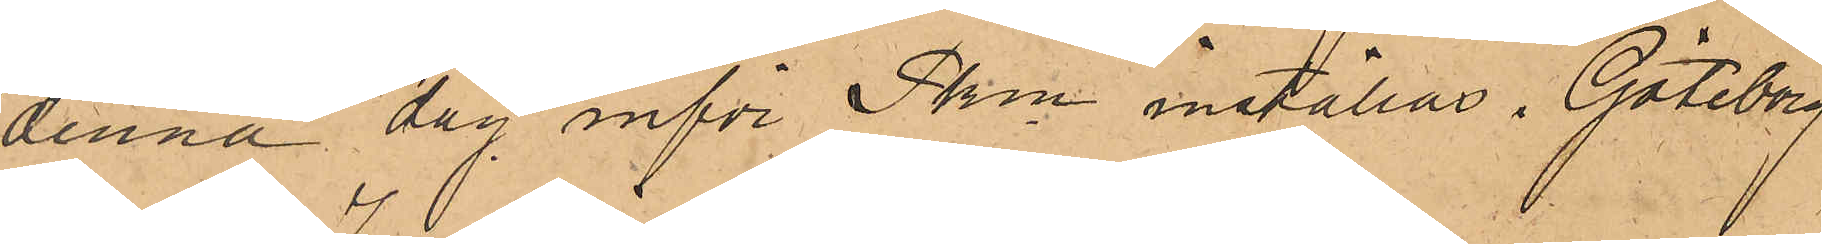denna dag inför Pkm inställas. Göteborg
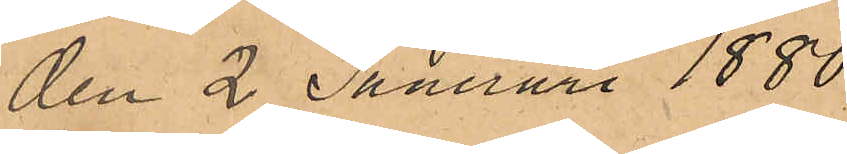den 2 Januari 1880.
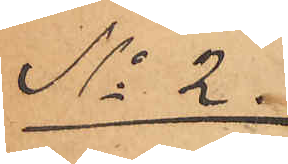No 2.
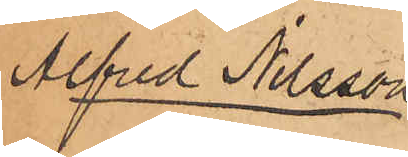Alfred Nilsson
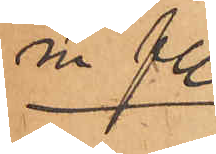m fl.
